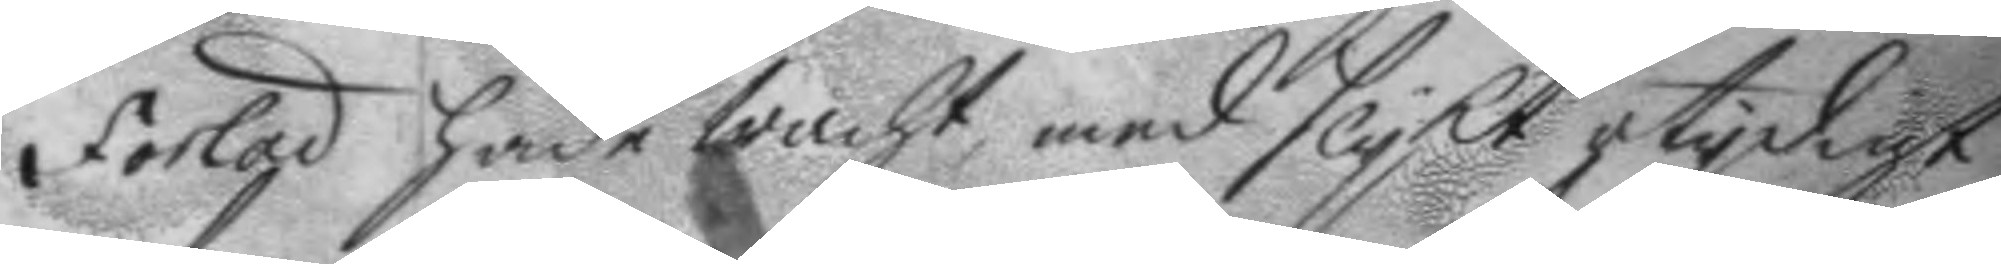Forlad hade wacht med slykt otydigt
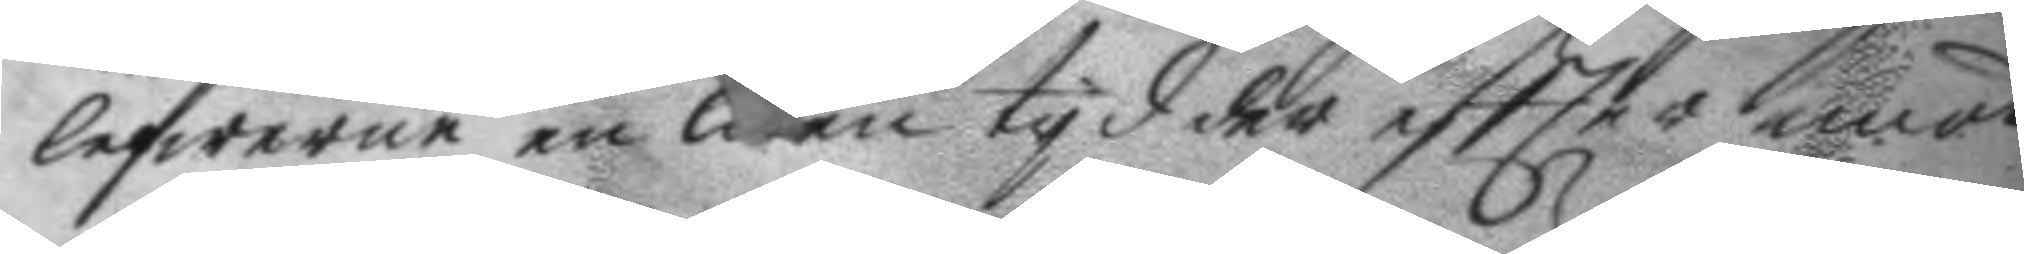lefwerne en liten tyd der eftter emot
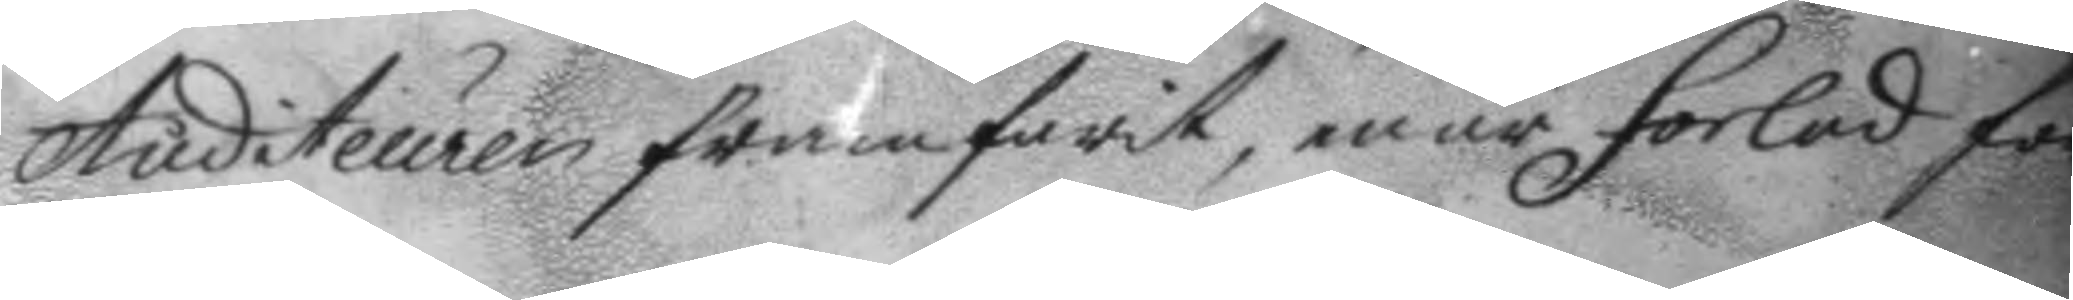Auditeuren framfarit, enär forlad for¬
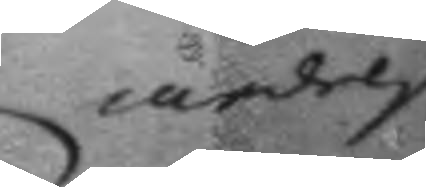medelst
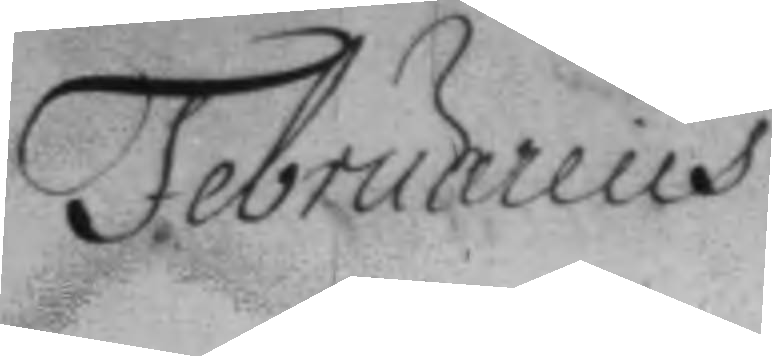Februarius
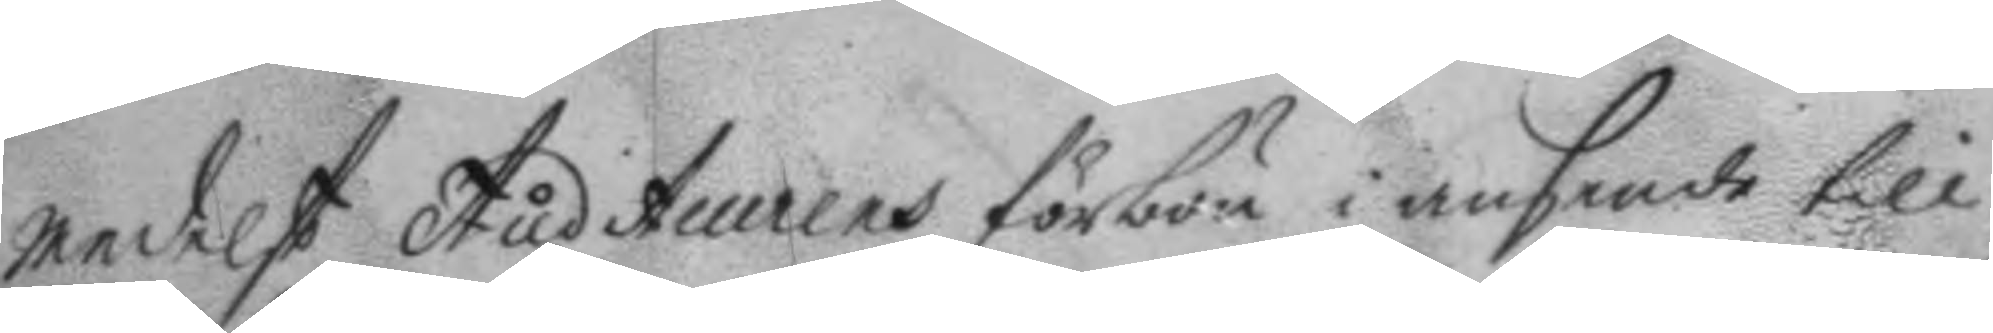medelst Auditeurens förbön i ansende till
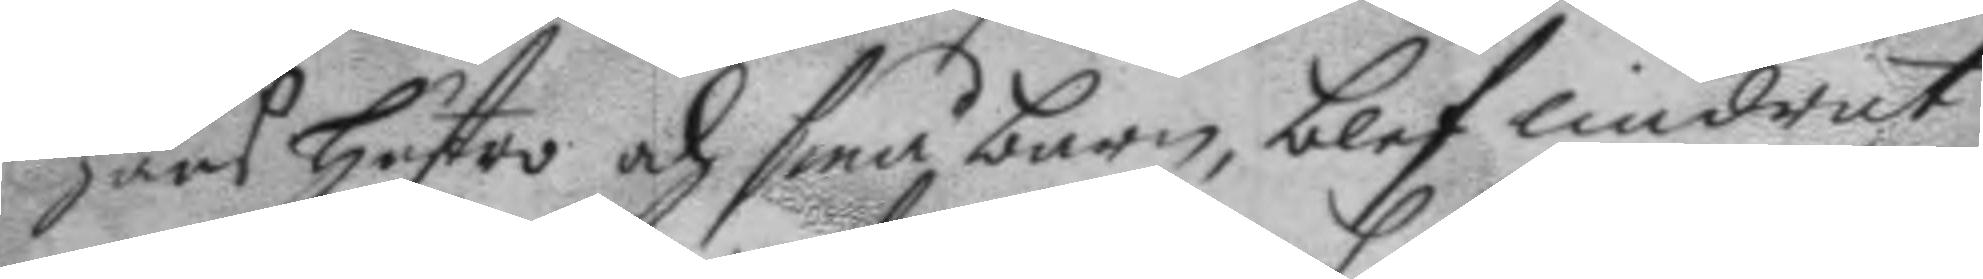hans hustro och små barn, blef lindrat
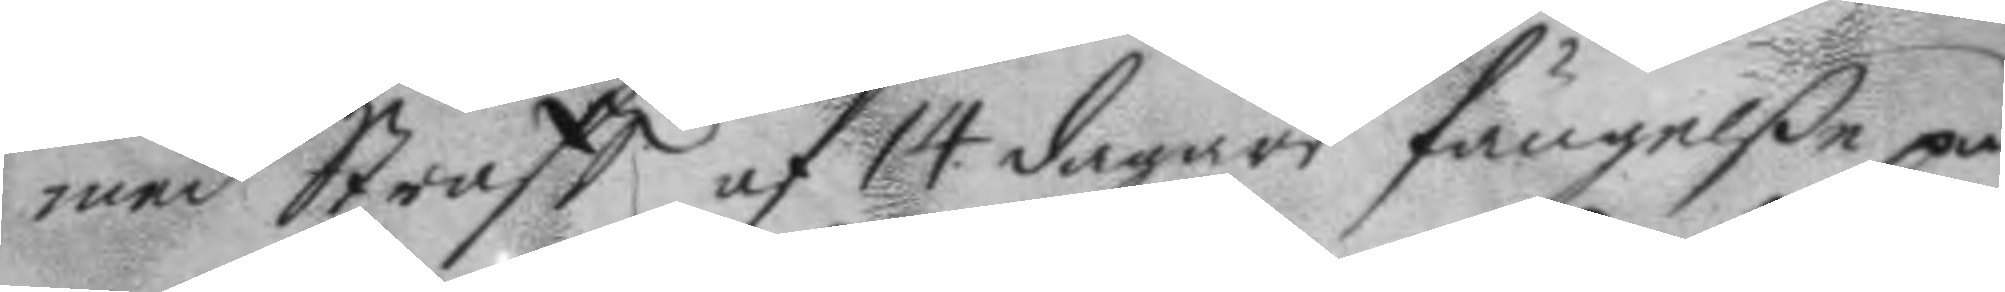med Straff af 14. dagars fängelße på
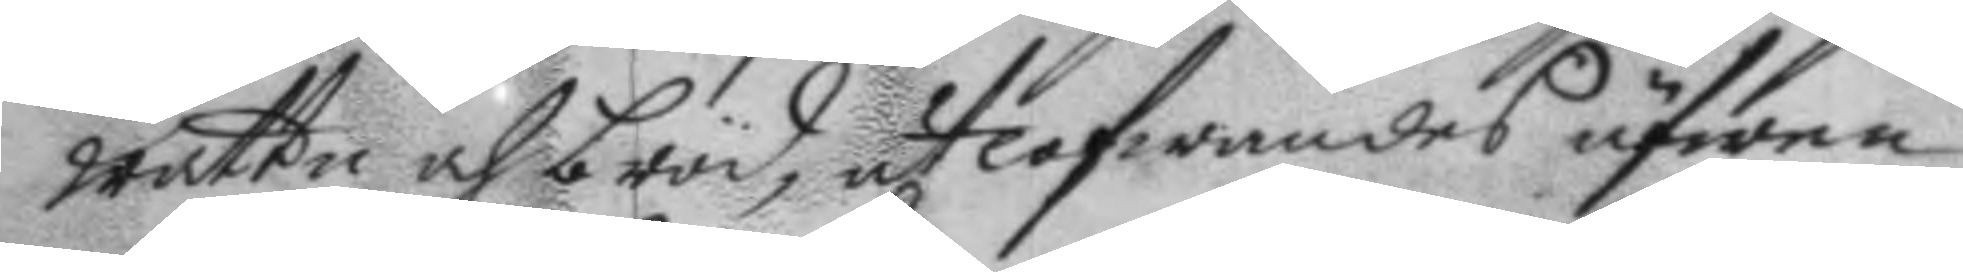wattn och bröd, utlofwandes äfwen
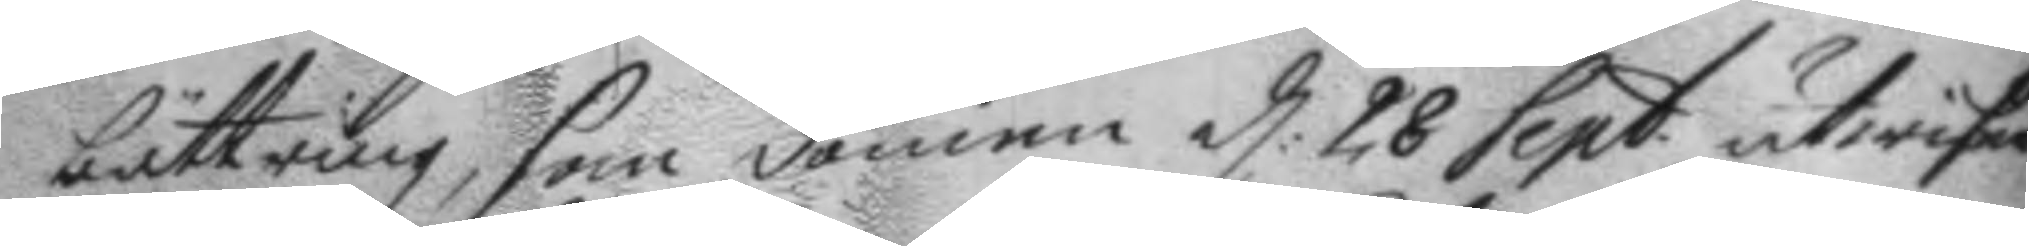bättring, som domen d: 28 Sept. utwisar.
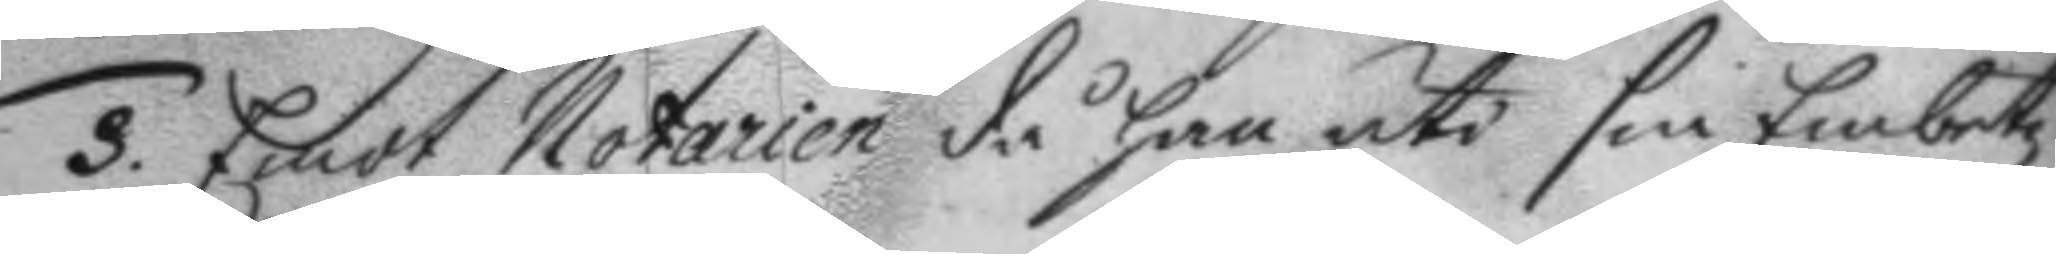3. Emot Notarien då han uti sin Embetz
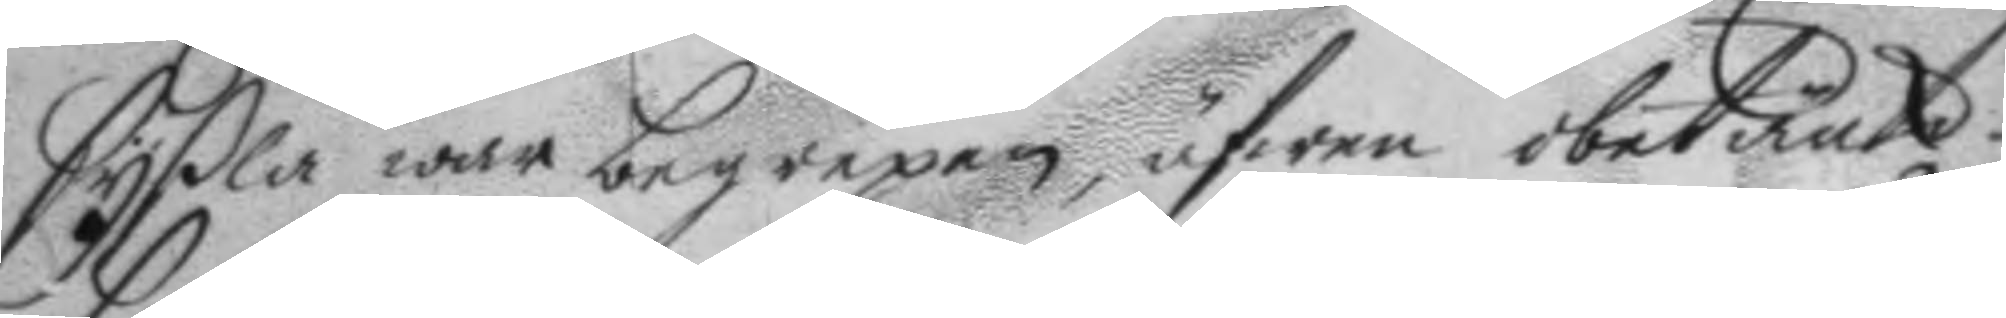Syssla war begrepen, äfwen obetänk¬
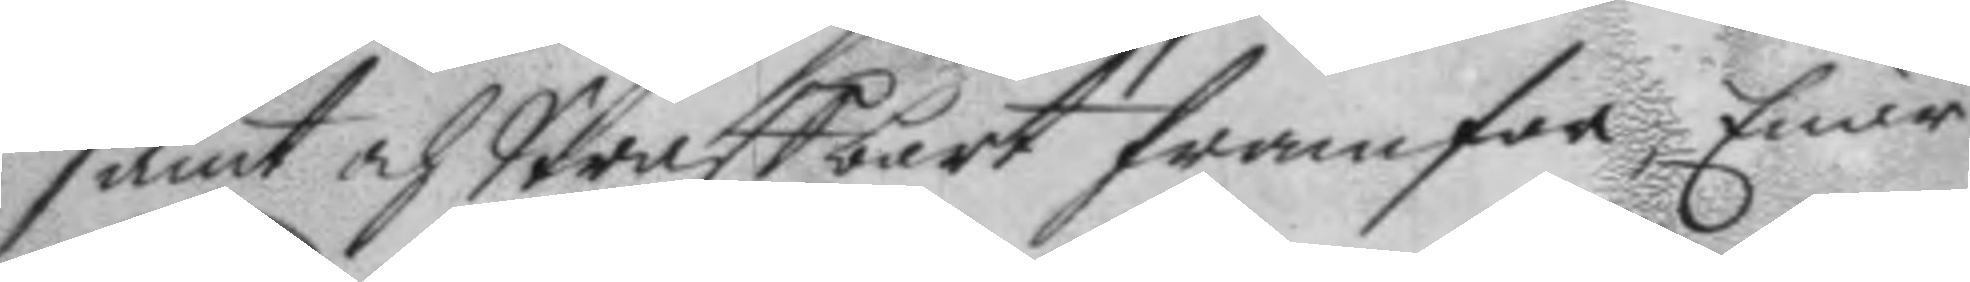samt och Straffbart framfor, Enär
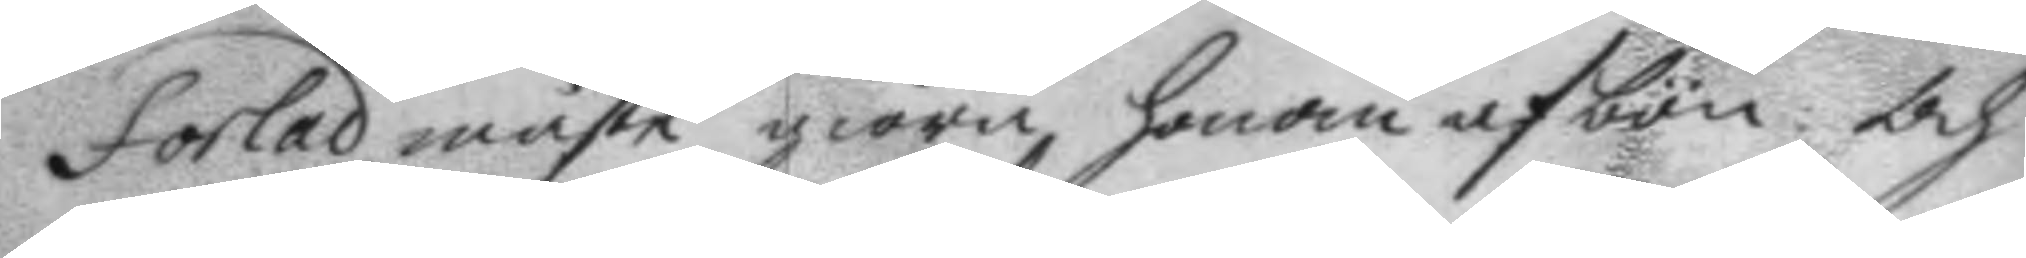forlad måste giöra honom afbön: och
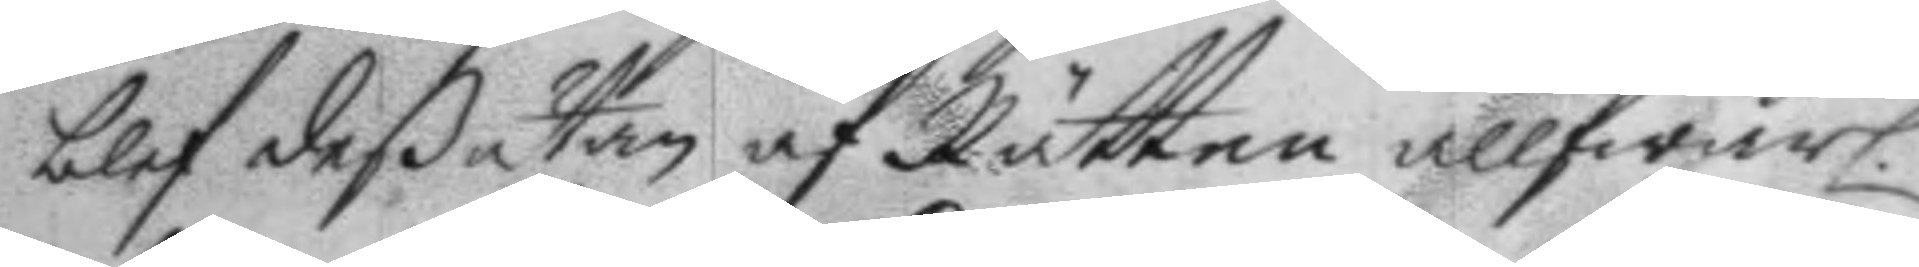blef deßutan af Rätten allfwarl.
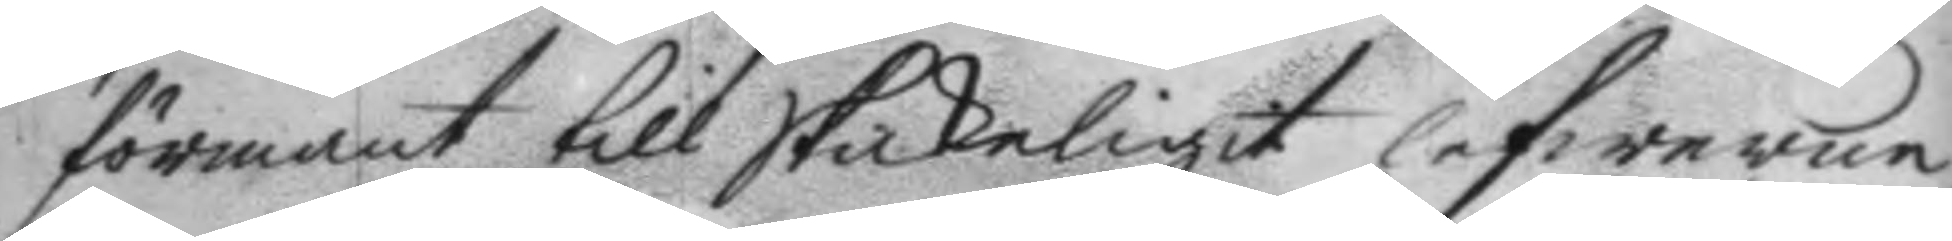förmant till Skickeligit lefwerne
